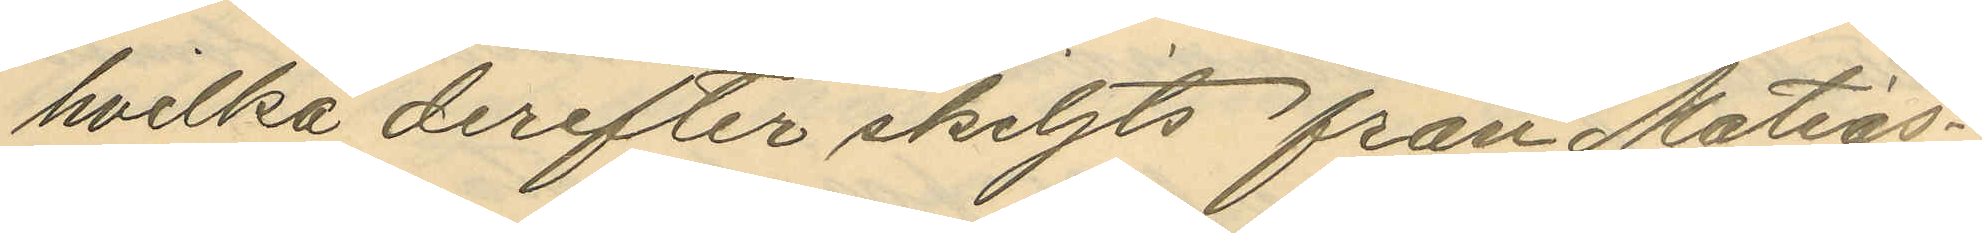hvilka derefter skiljts från Mattias¬
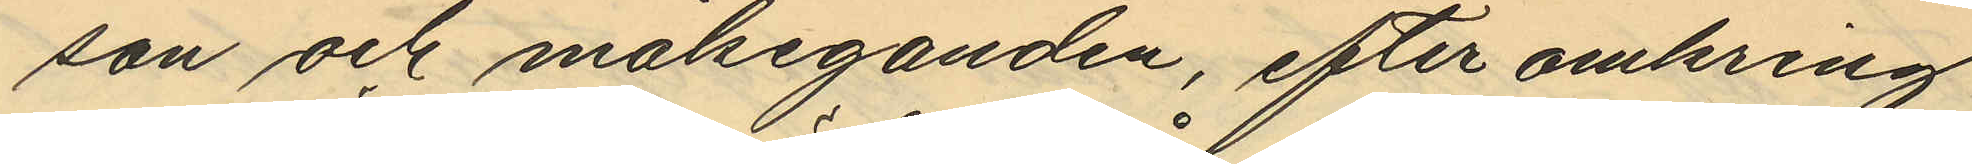son och målseganden, efter omkring
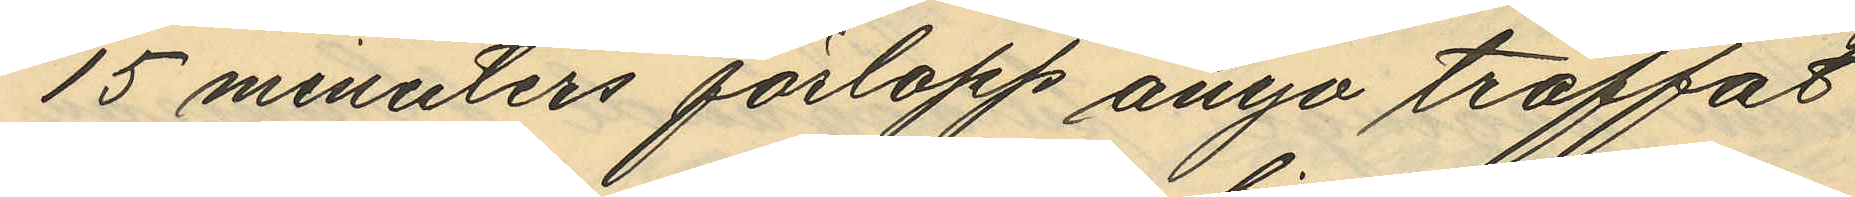15 minuters förlopp ånyo träffat
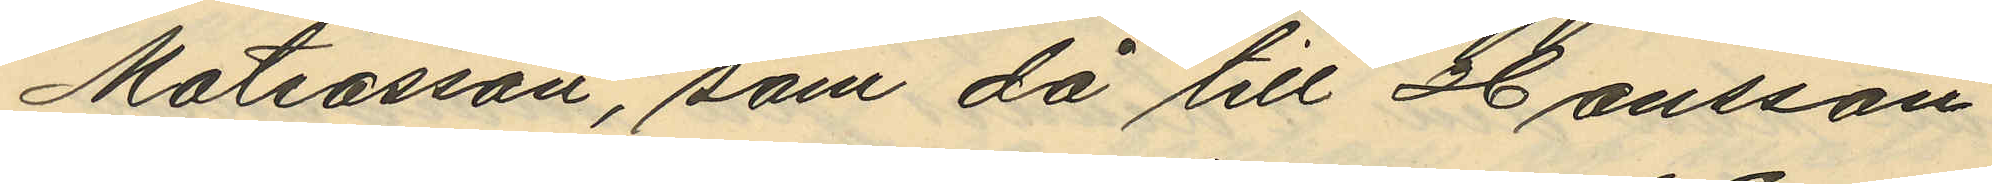Mattiasson, som då till Hansson
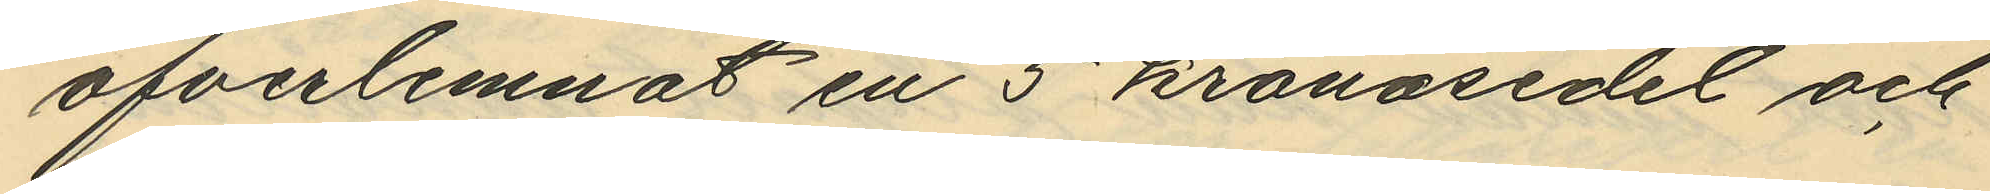öfverlemnat en 5 kronosedel och
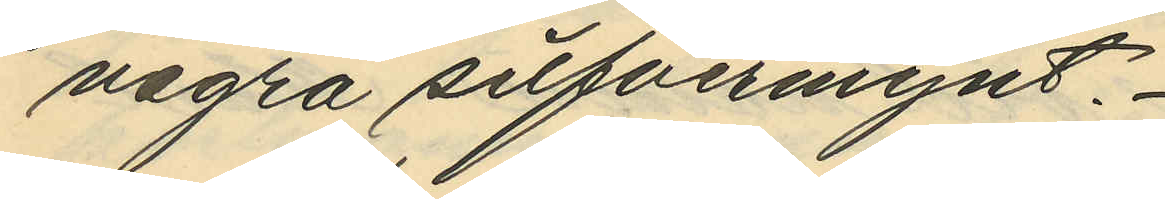några silfvermynt.
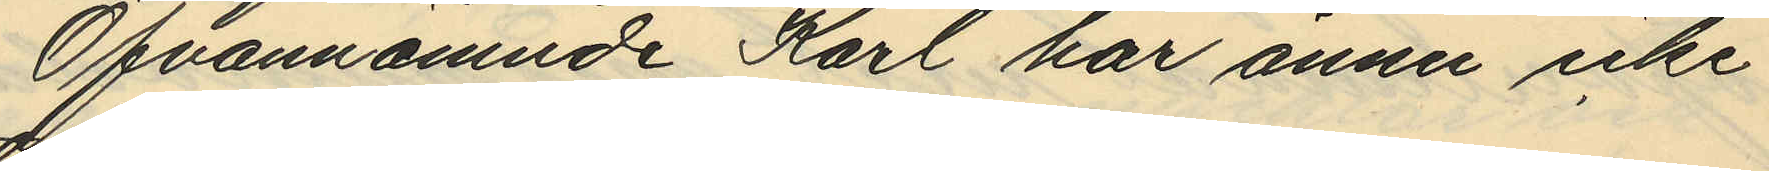Ofvannämnde Karl har ännu icke
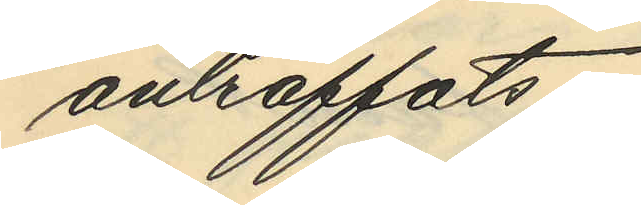anträffats.
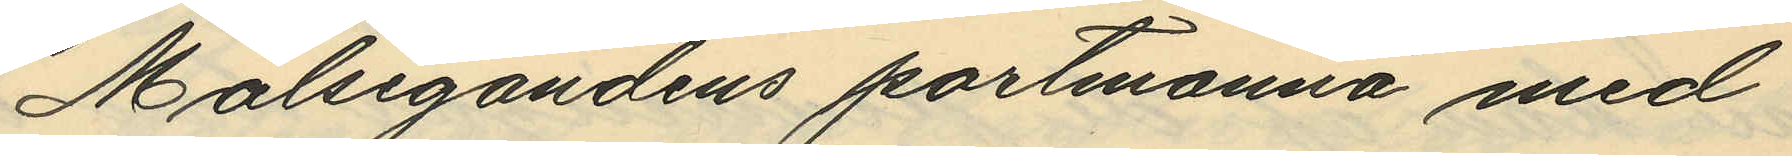Målsegandens portmonnä med
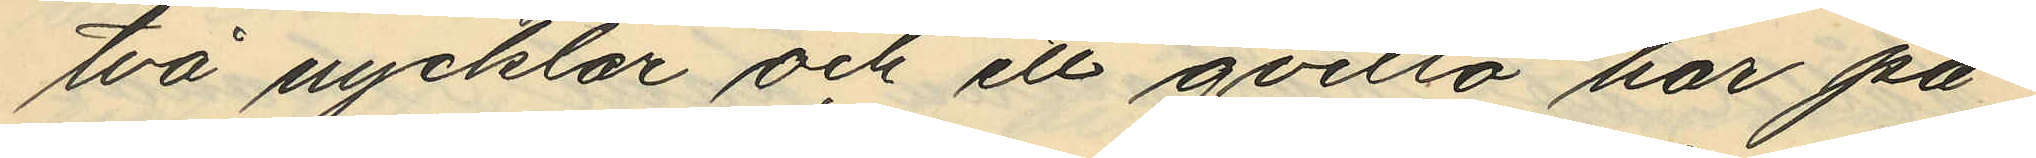två nycklar och ett qvitto har på¬
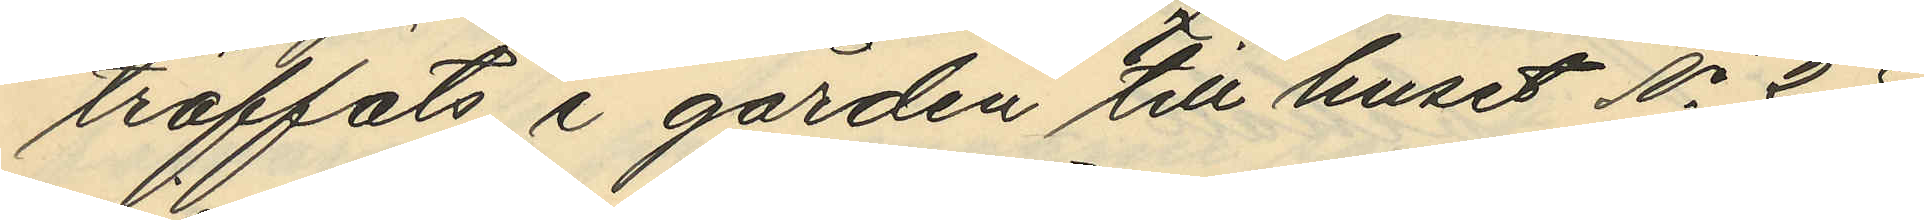träffats i gården till huset No 25
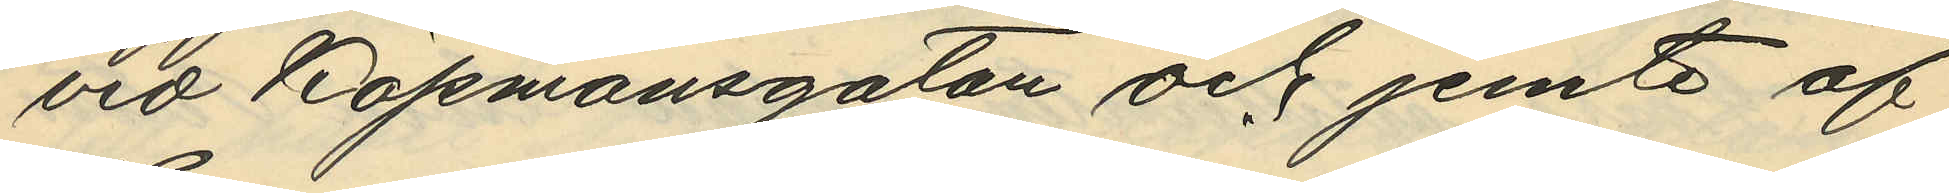vid Köpmansgatan och jemte af
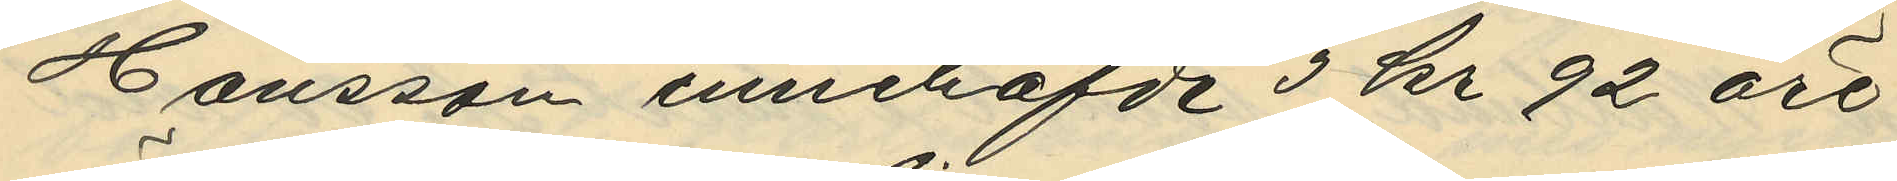Hansson innehafde 3 kr 92 öre
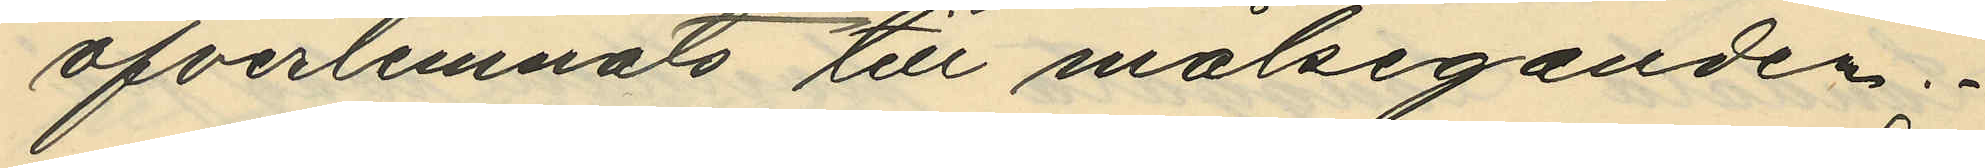öfverlemnats till målseganden;
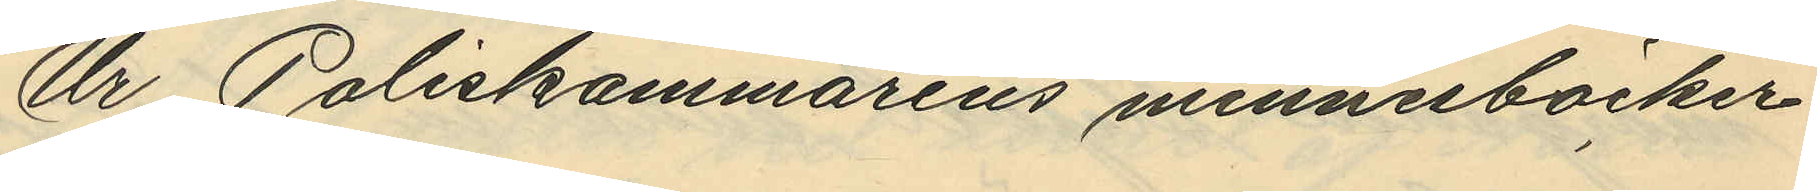Ur Poliskammarens minnesböcker
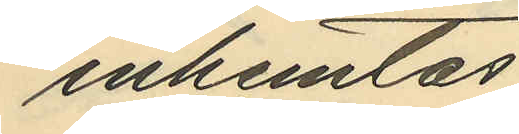inhemtas
